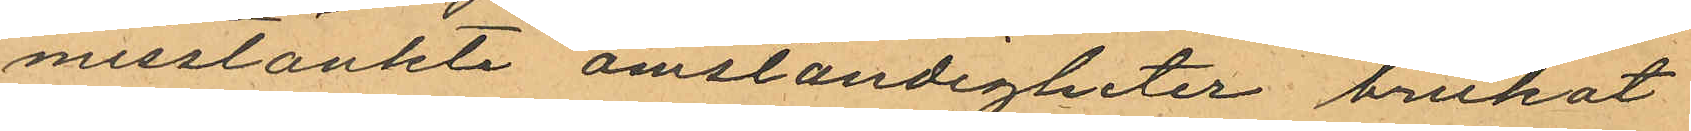misstänkte omständigheter brukat
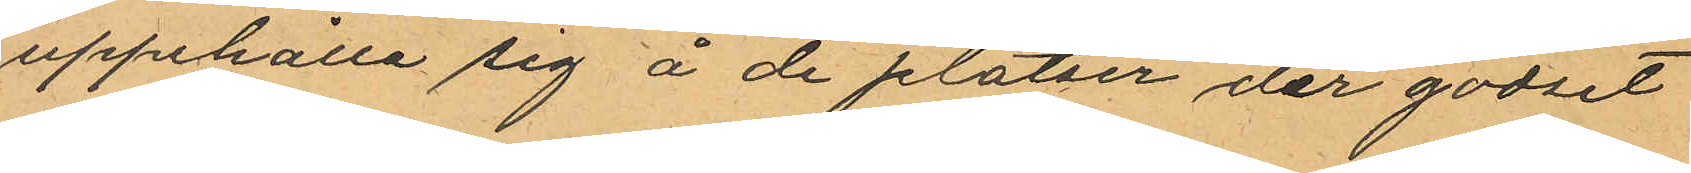uppehålla sig å de platser der godset
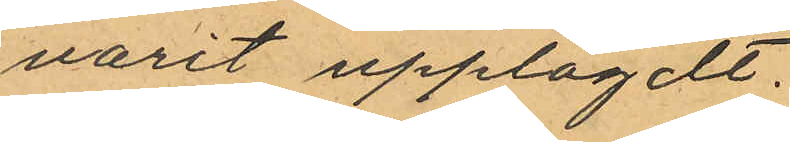varit upplagdt.
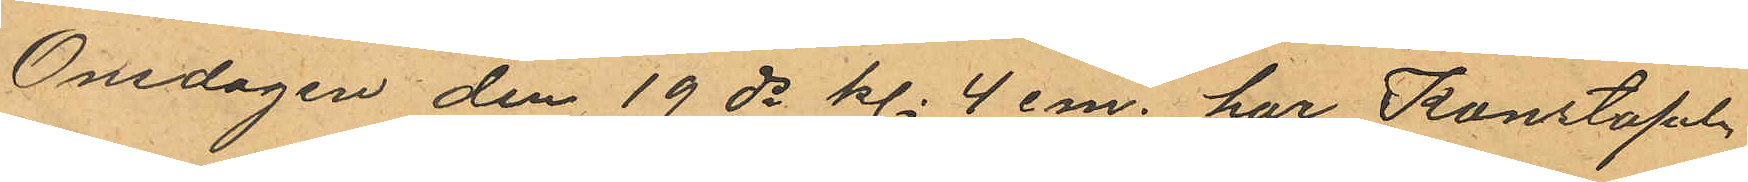Onsdagen den 19 ds kl. 4 em. har Konstapeln
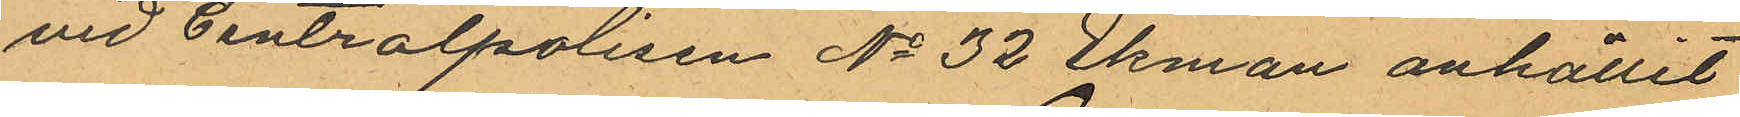vid Centralpolisen No 32 Ekman anhållit
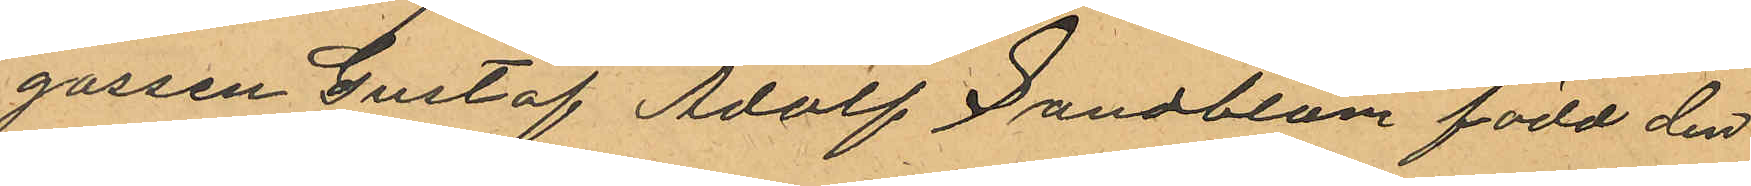gossen Gustaf Adolf Sandblom född den
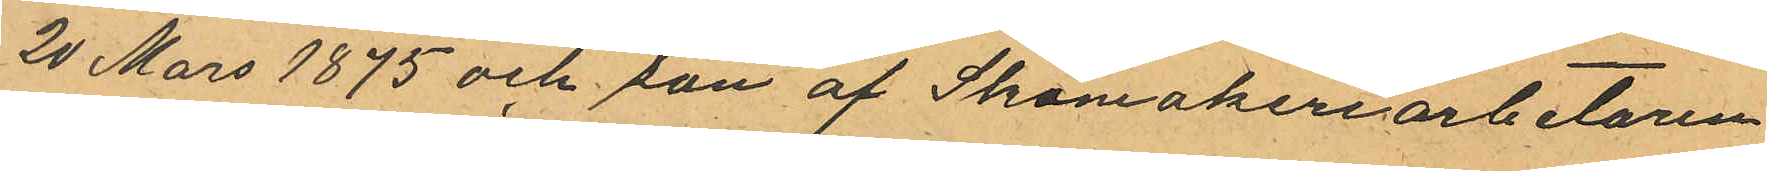20 Mars 1875 och son af Skomakeriarbetaren
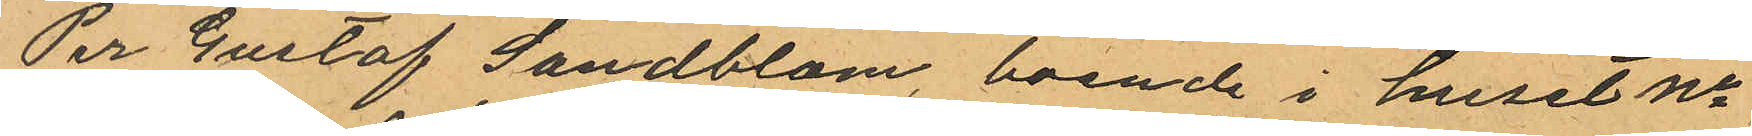Per Gustaf Sandblom, boende i huset No
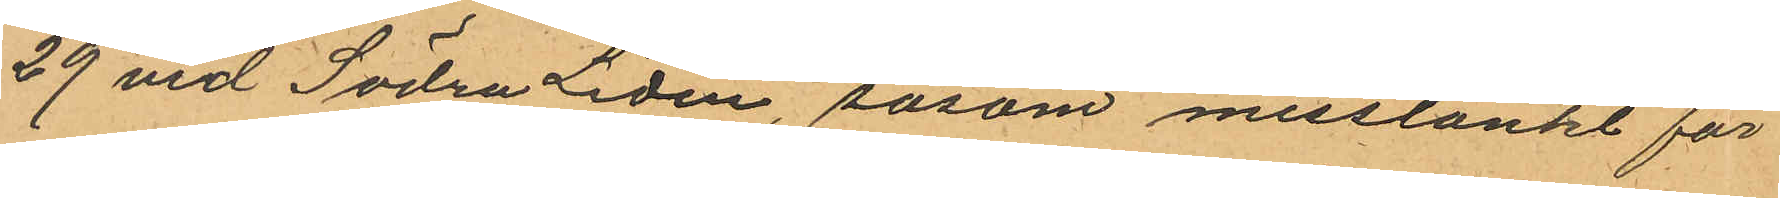29 vid Södra Liden, såsom misstänkt för
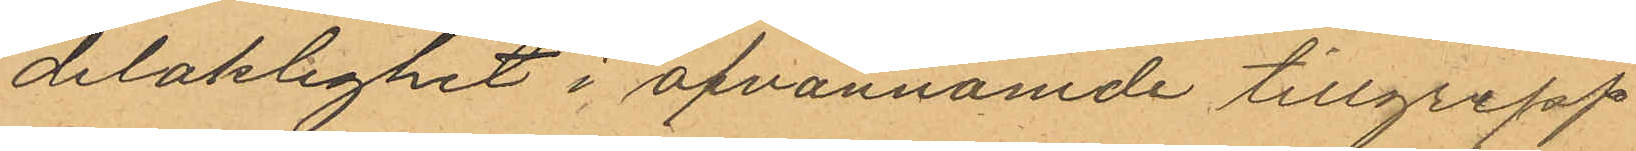delaklighet i ofvannämnde tillgrepp
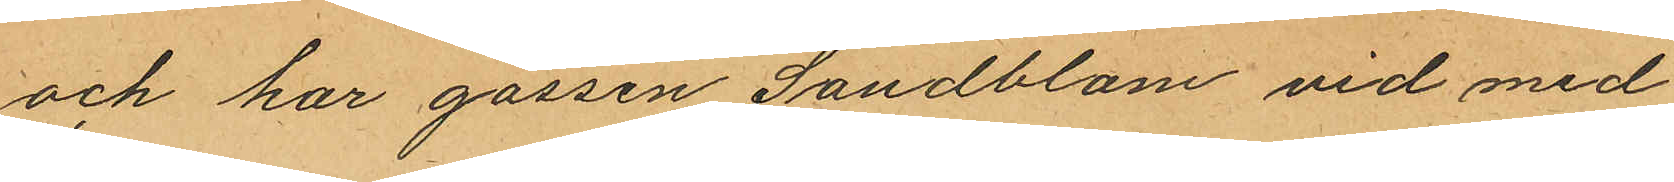och har gossen Sandblom vid med
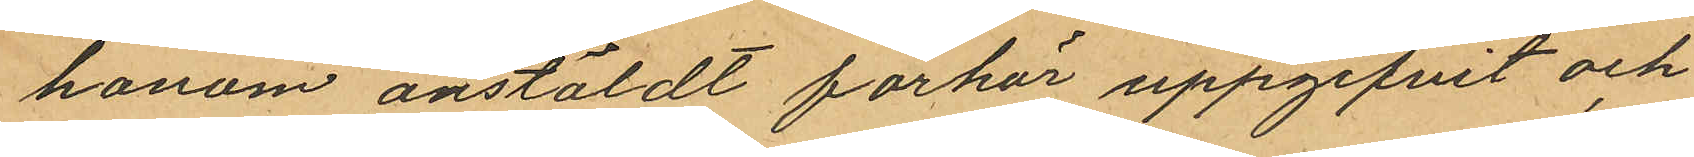honom anstäldt förhör uppgifvit och
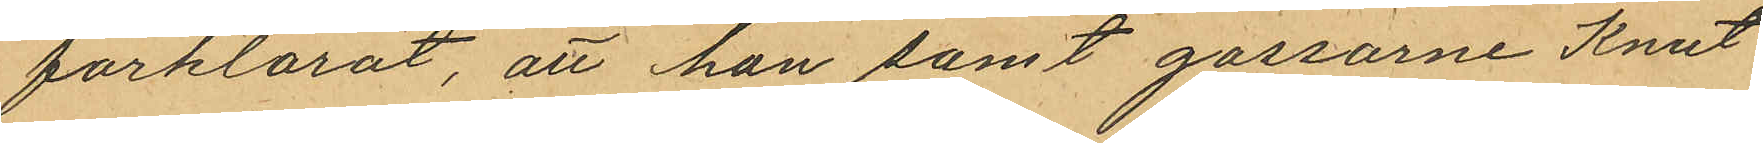förklarat, att han samt gossarne Knut
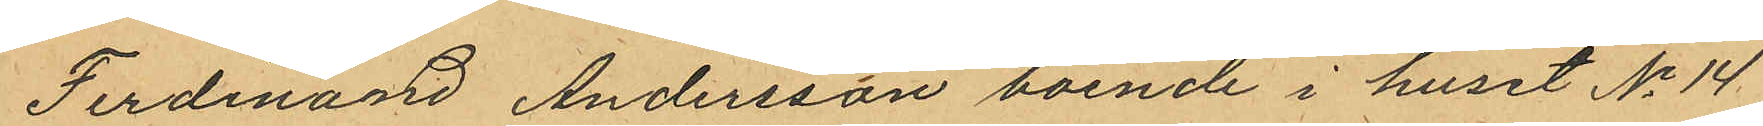Ferdinand Andersson boende i huset No 14
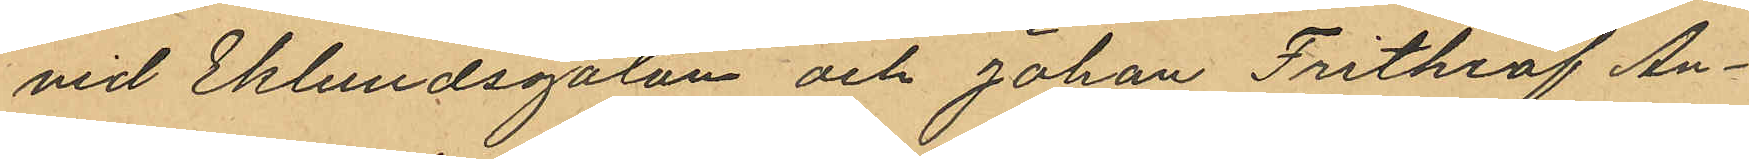vid Eklundsgatan och Johan Frithiof An¬
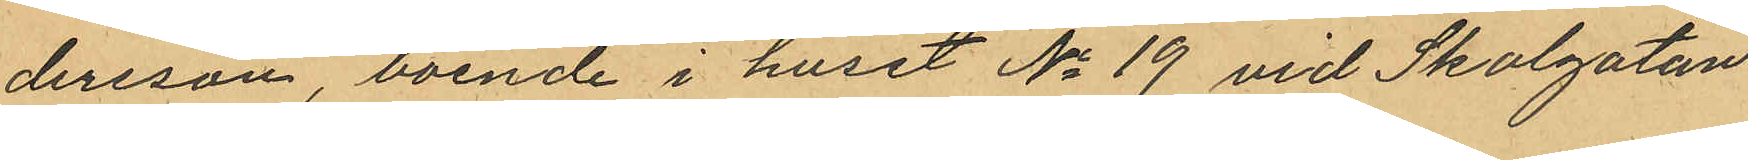dersson, boende i huset No 19 vid Skolgatan
